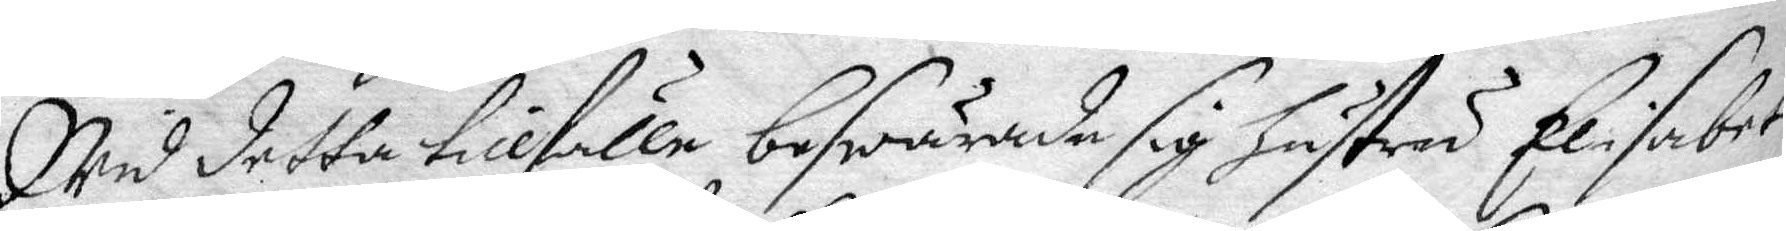Wed detta tillfälle beswärade sig hustru Elisabet
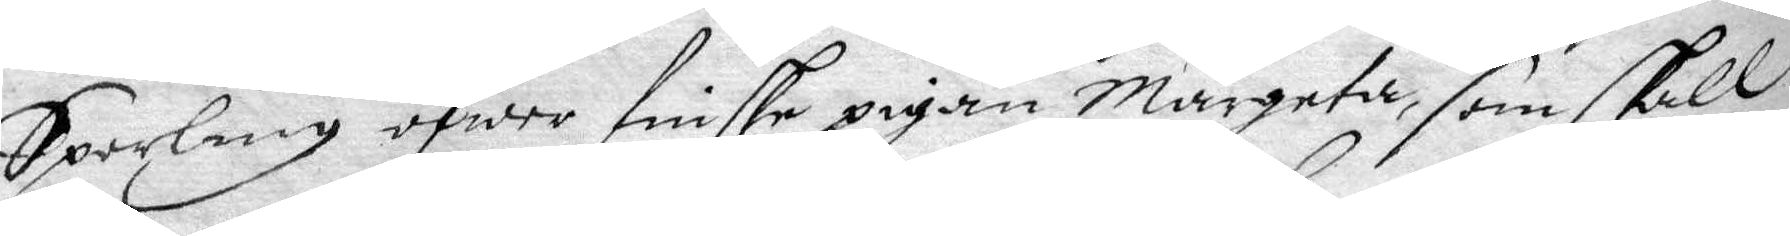Sperling öfwer finske pigan Margeta, som skall
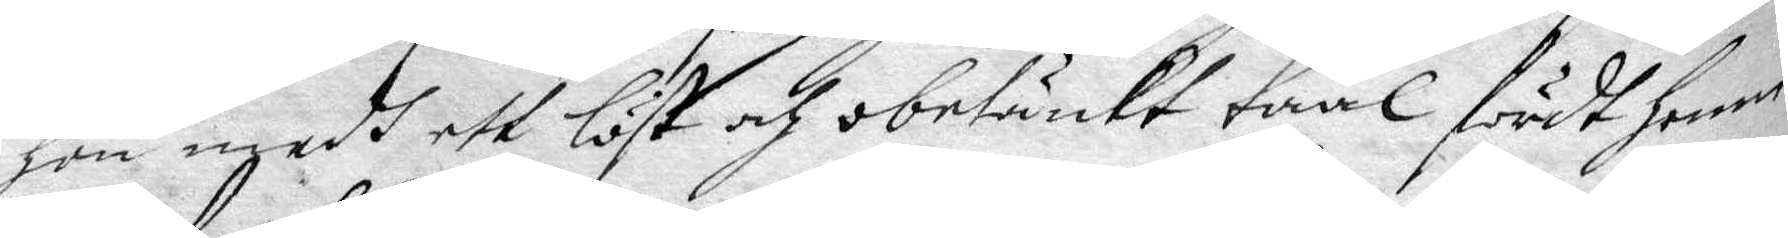hon medh ett löst och obetänkt taal fördt henne
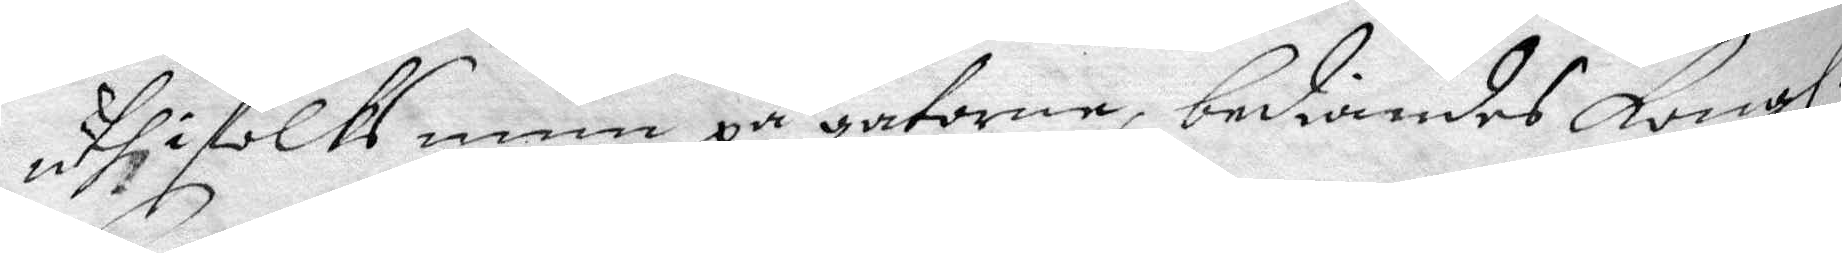uthi folks mun på gatorne, bediandes Kongl.
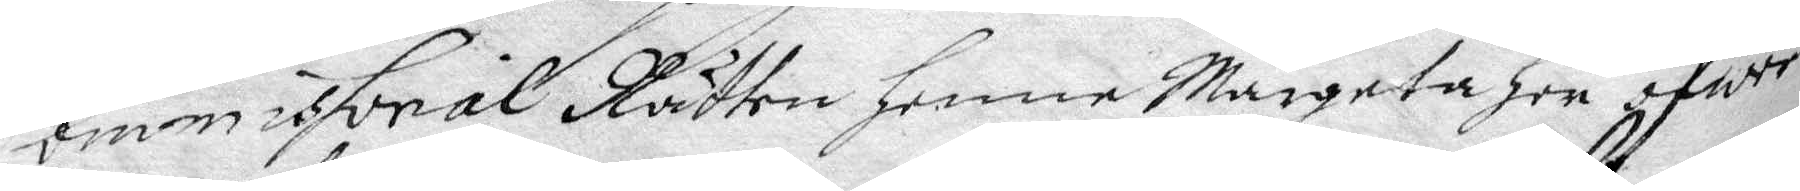Commissorial Rätten henne Margeta her öfwer
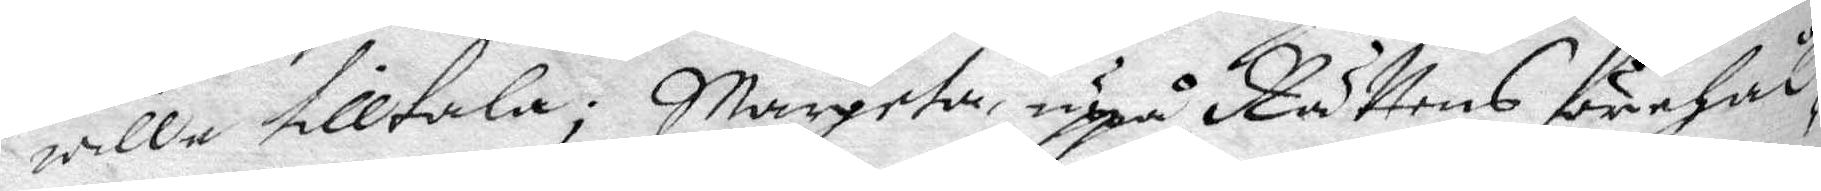wille tilltala; Margeta uppå Rättens förehål¬
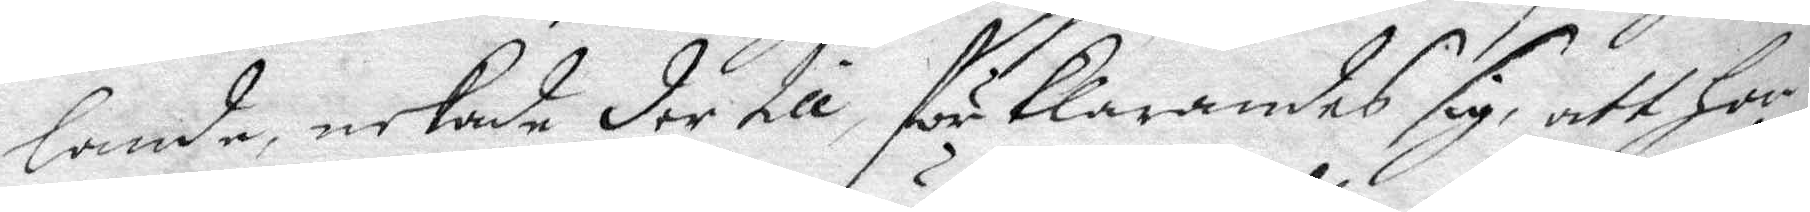lande, nekade der till förklarandes sig, att hon
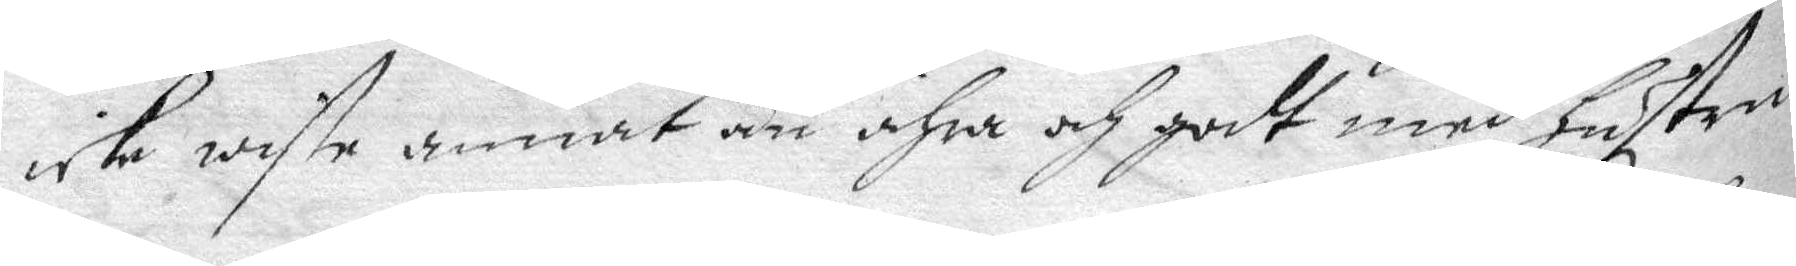icke wiste annat än ähra och godt medh hustru
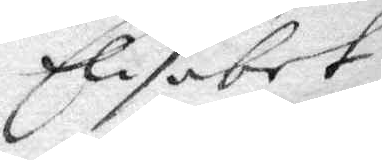Elisabet
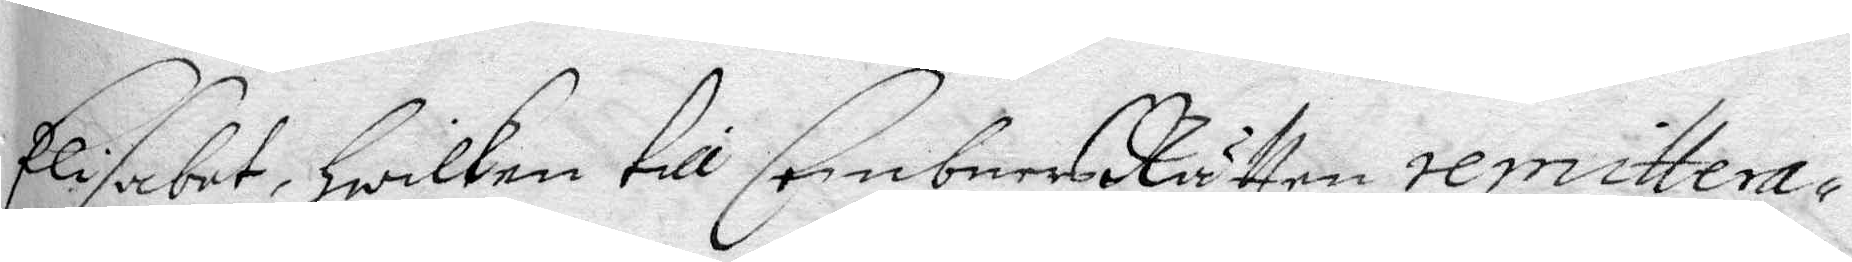Elisabet, hwilken till CembnersRätten remittera¬
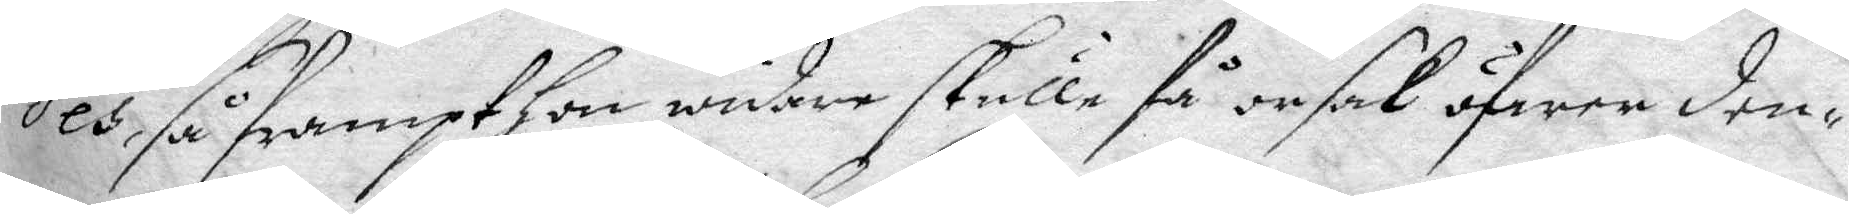des, så frampt hon widare skulle få orsak öfwer den¬
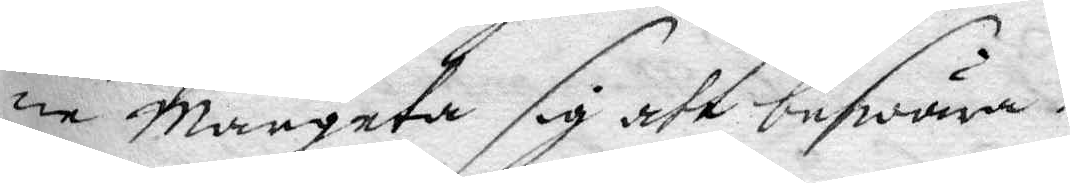ne Margeta sig att beswära.
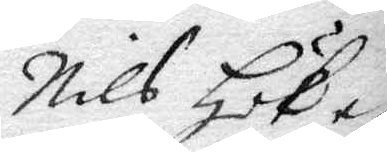Nils Hök e¬
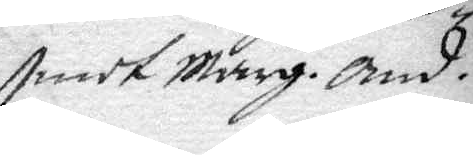mot Marg. And.
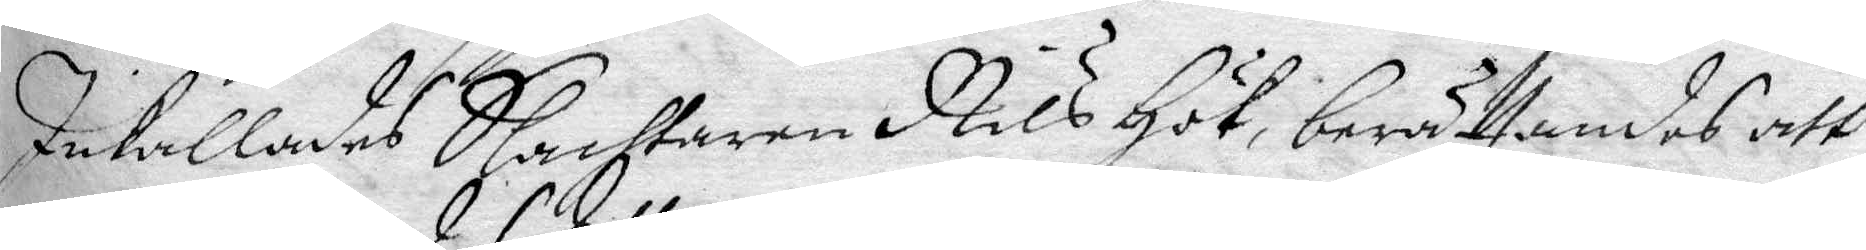Inkallades Slachtaren Nils Hök, berättandes att
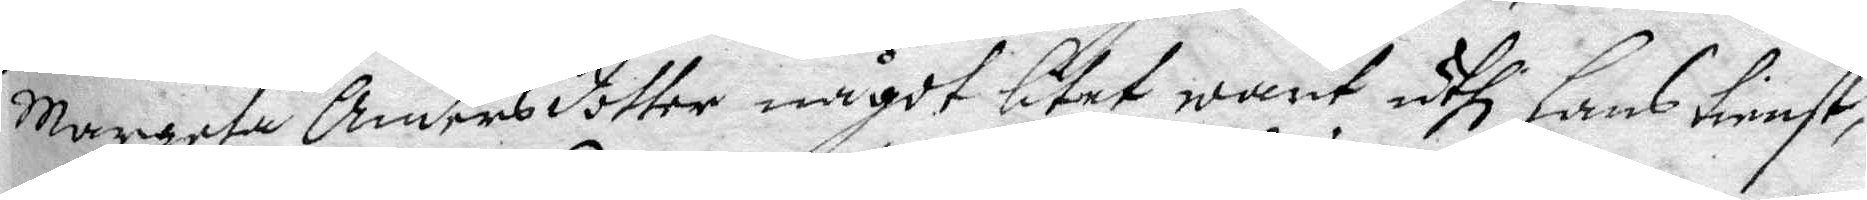Margeta Andersdotter något litet warit uthi hans tienst,
